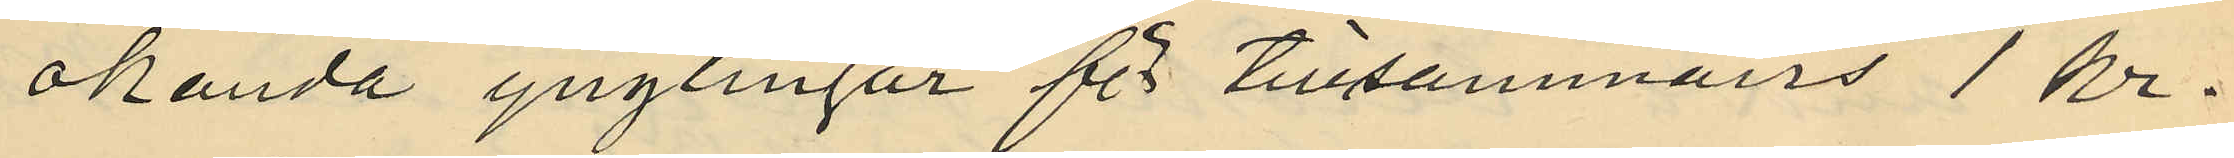okända ynglingar för tillsammans 1 kr.
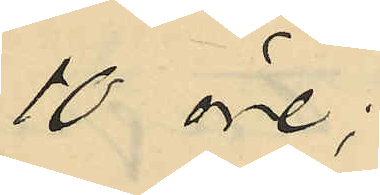10 öre;
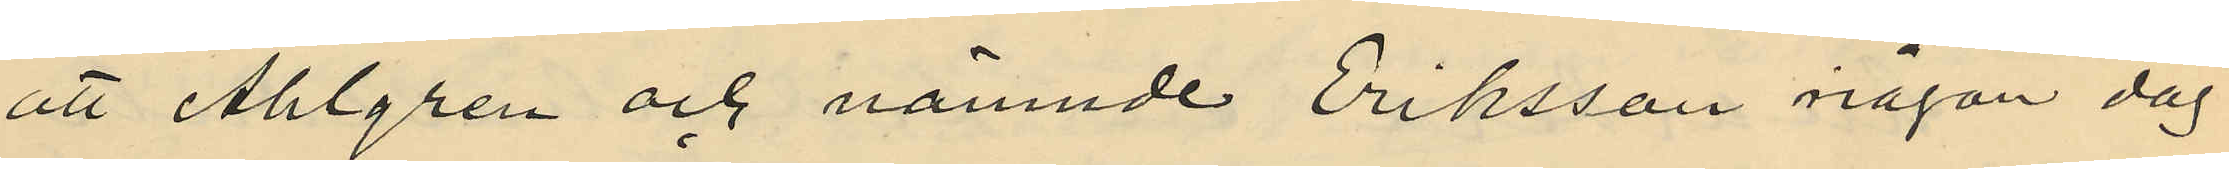att Ahlgren och nämnde Eriksson någon dag
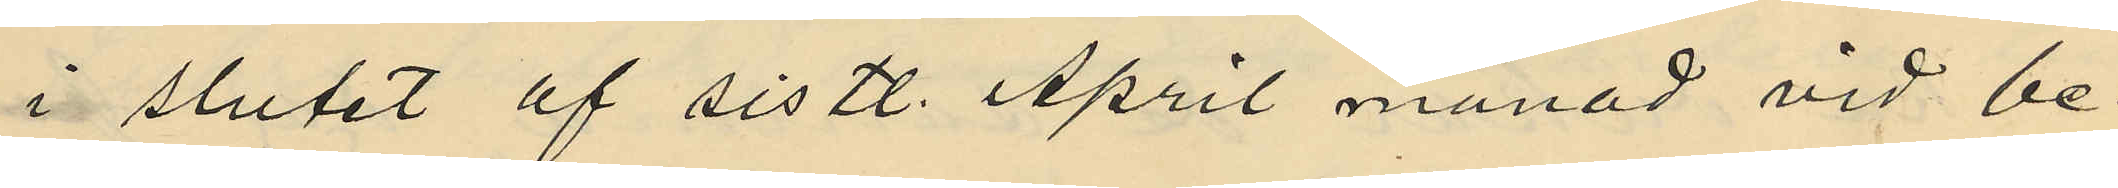i slutet af sistl. April månad vid be¬
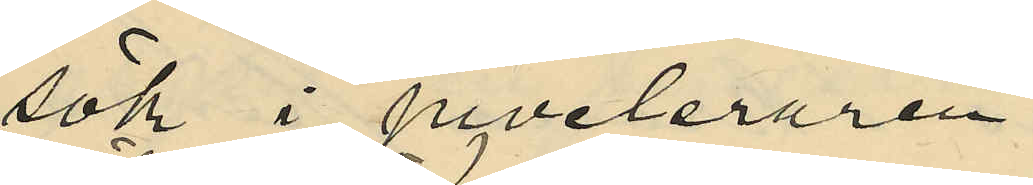sök i juveleraren
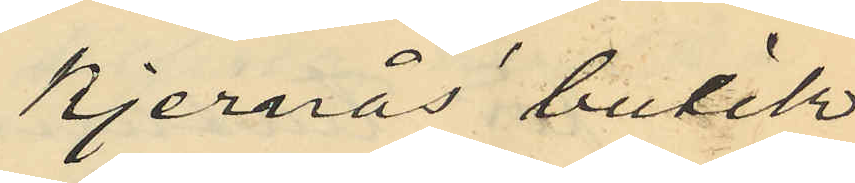Kjernås' butik
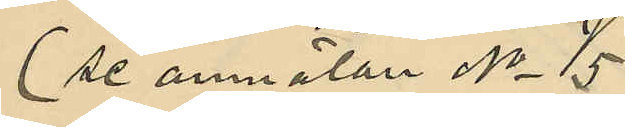(se anmälan No 5)
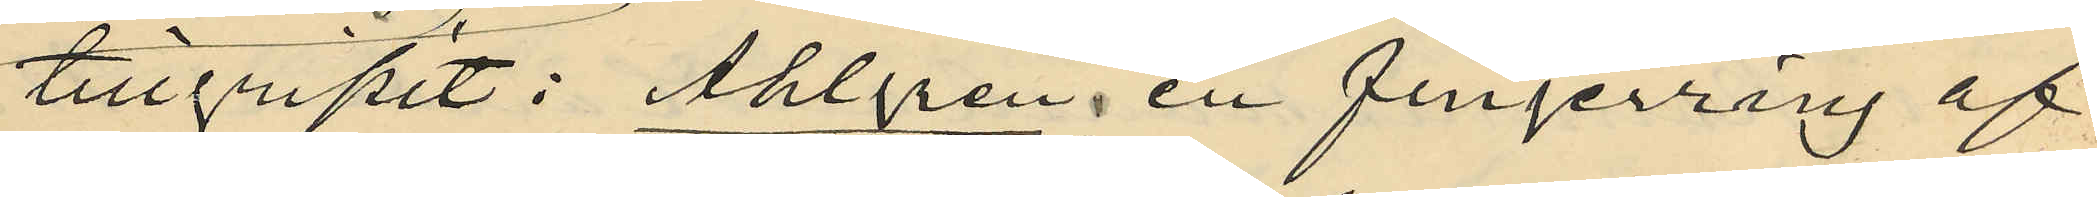tillgripit: Ahlgren, en fingerring af
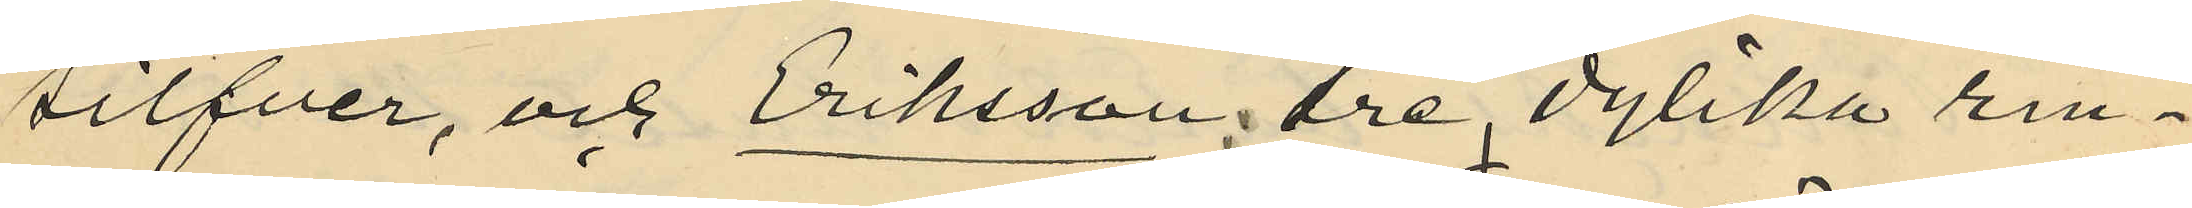silfver, och Eriksson, tre dylika rin¬
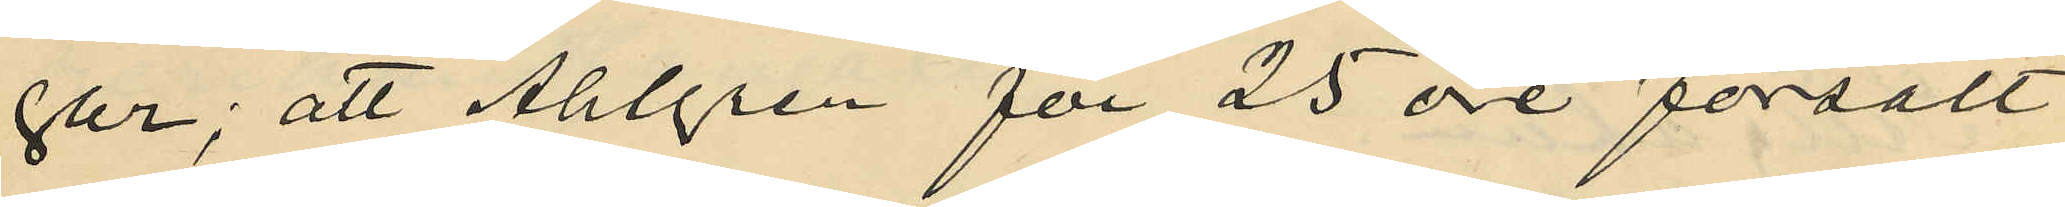gar; att Ahlgren för 25 öre försålt
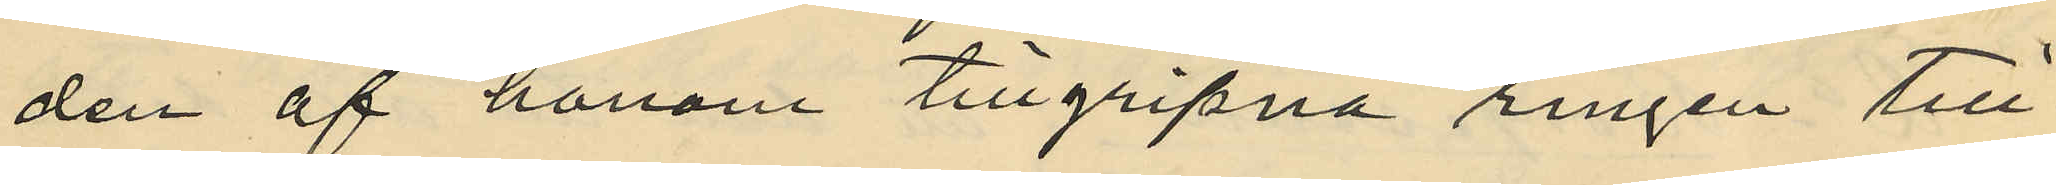den af honom tillgripna ringen till
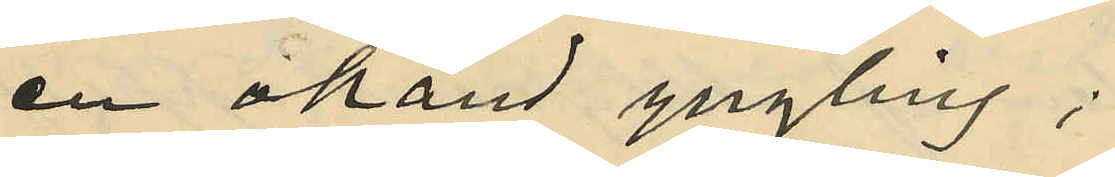en okänd yngling;
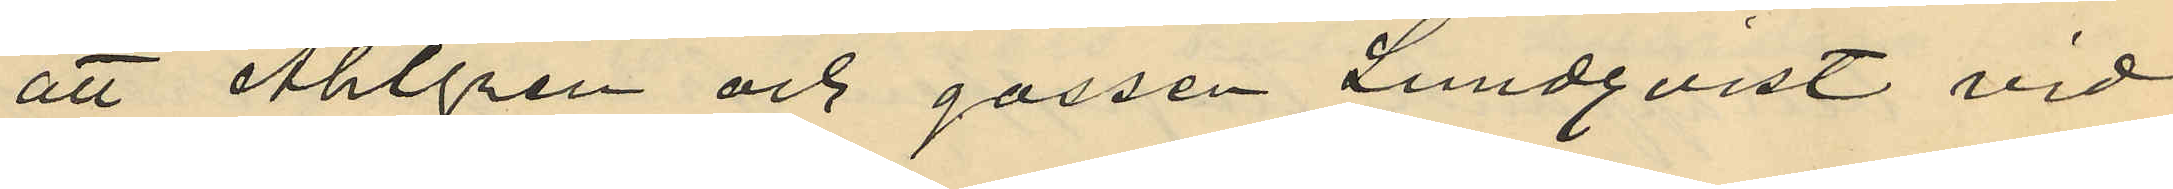att Ahlgren och gossen Lundqvist vid
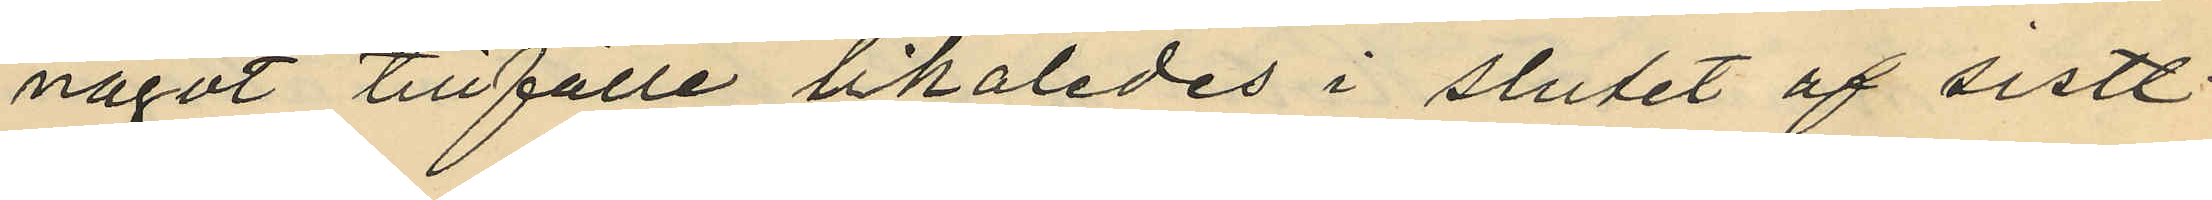något tillfälle likaledes i slutet af sistl.
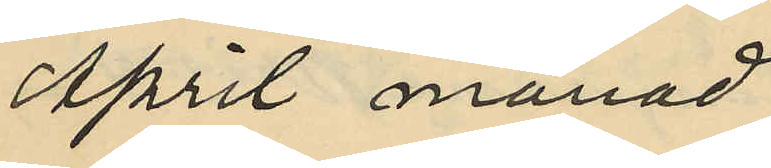April månad
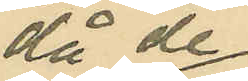då de
